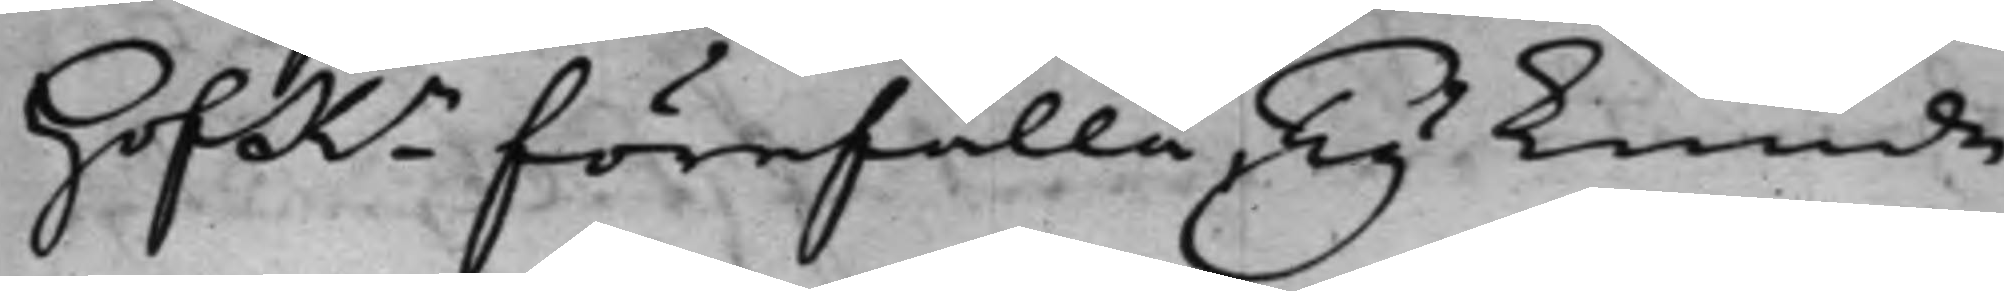HofRn förefalla, Ty kunde
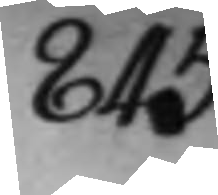845.
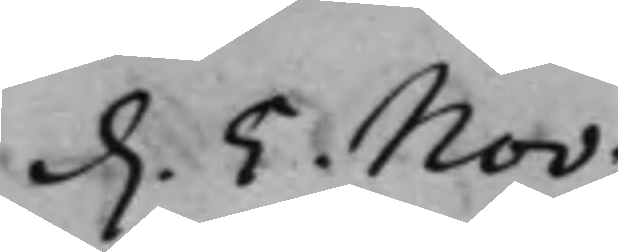d. 5 Nov:
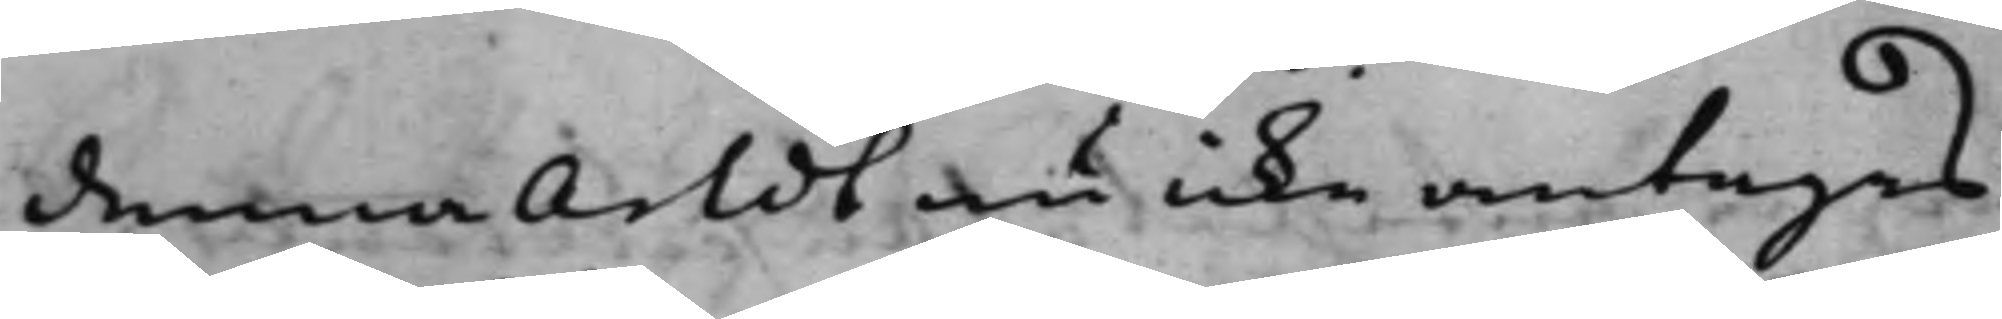denna Arldt icke antagas.
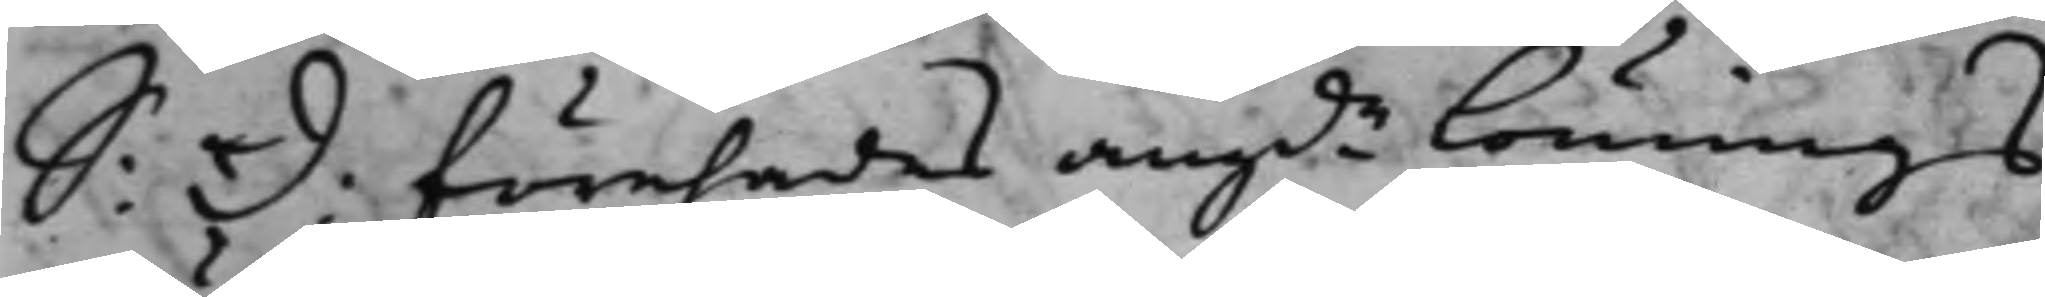S: d: förehades angde Lönnings¬
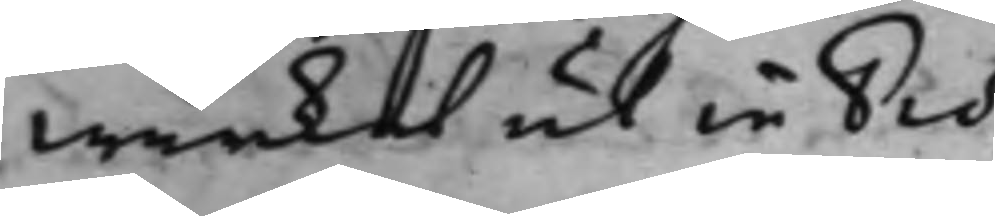wärket ut in Prot:
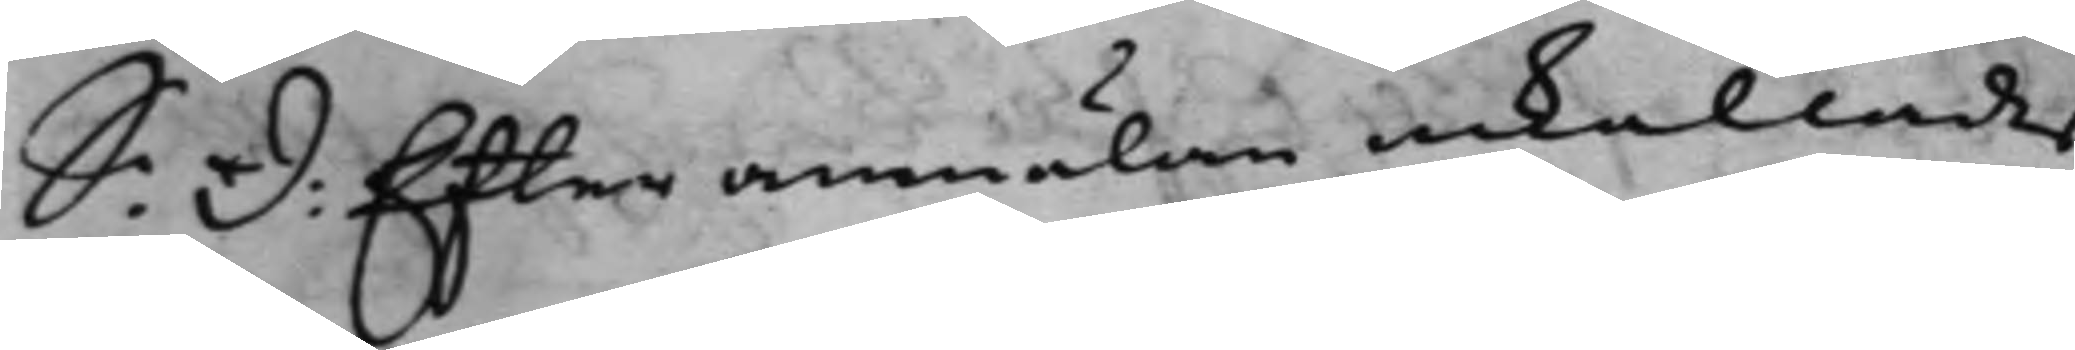S: d: Efter anmälan inkallades
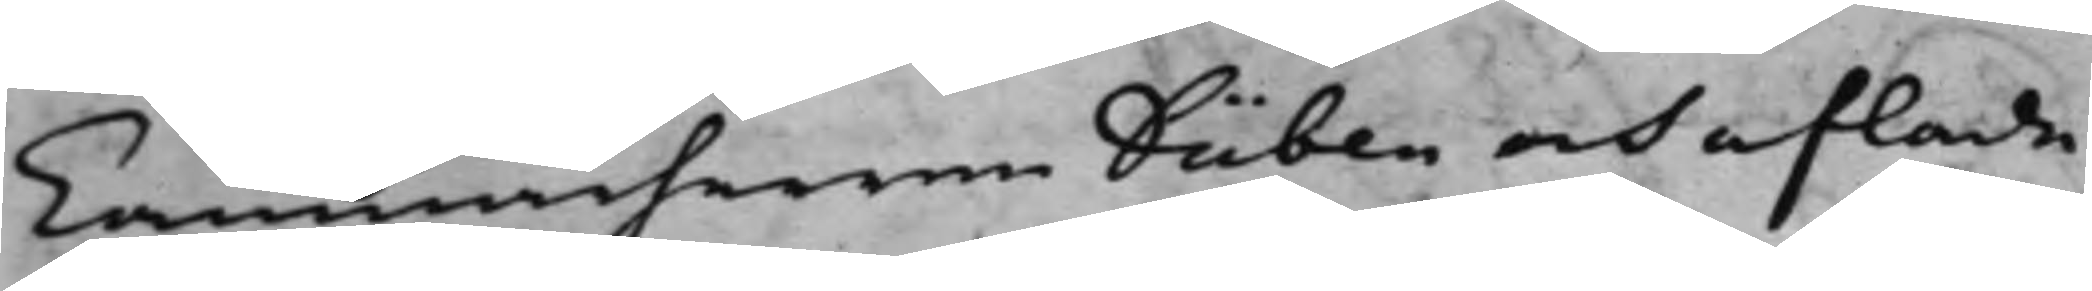Cammarherren Düben och aflade
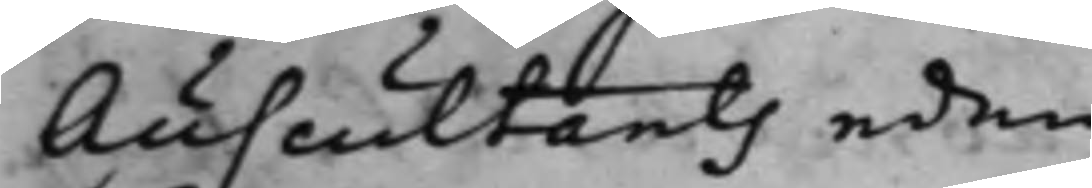Auscultants eden.
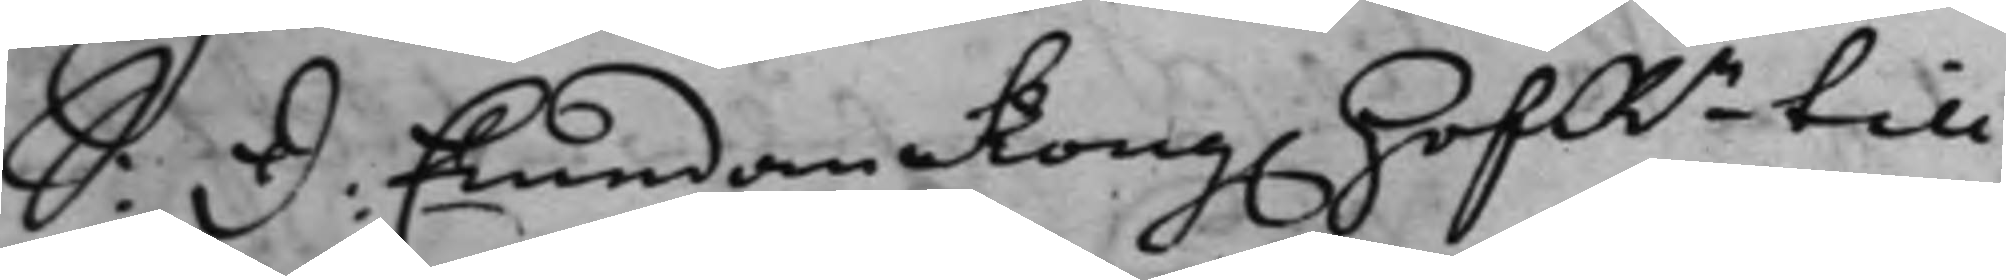S: d. Emedan Kong. HofRn till
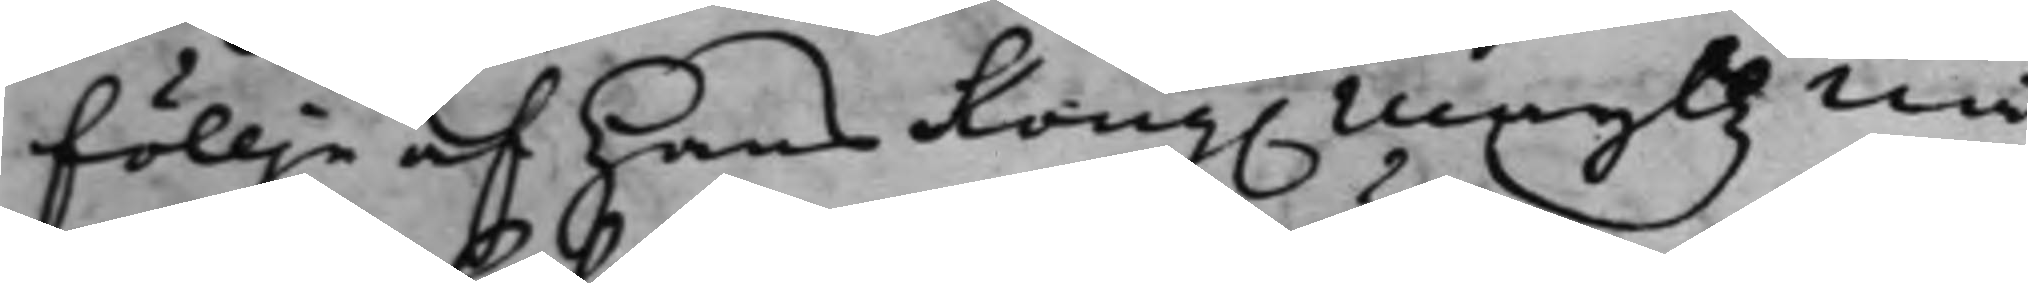föllje af Hans Kong. Mayttz nå¬
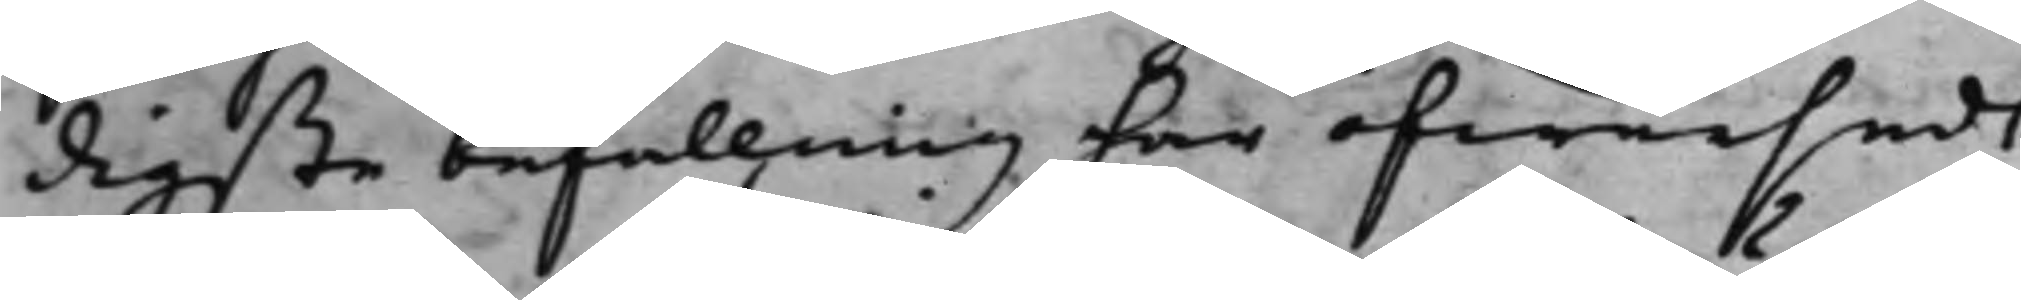digste befallning här öfwersedt,
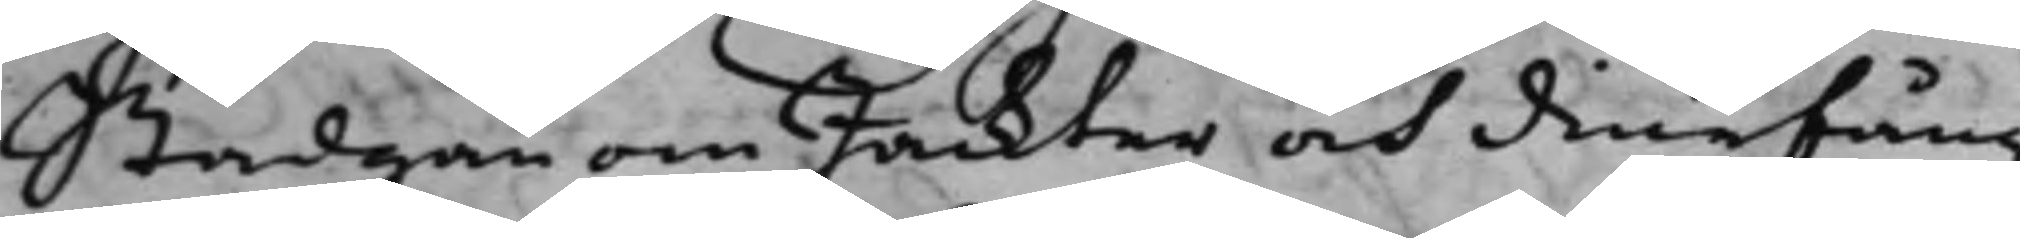Stadgan om Jackter och diurfång
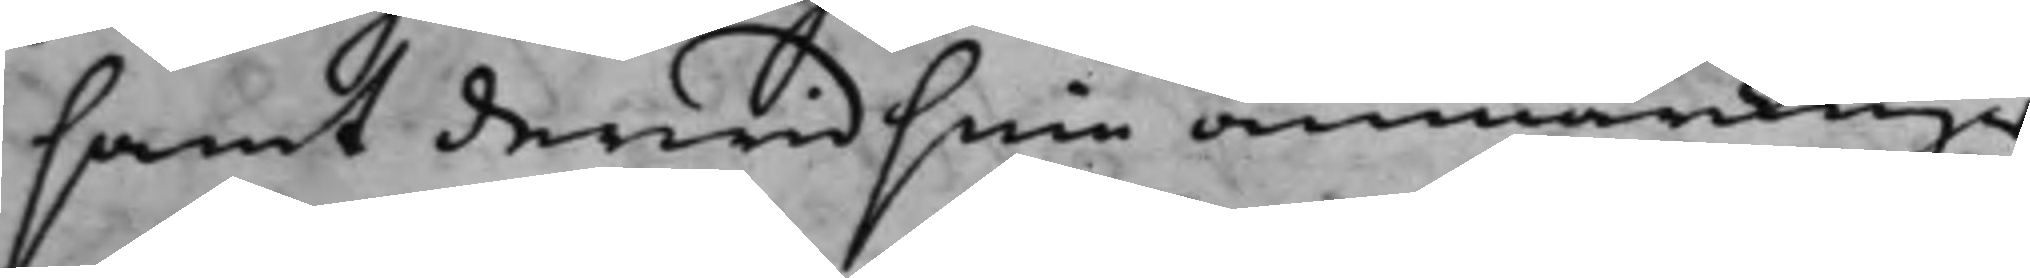samt derwid sine anmärckinger
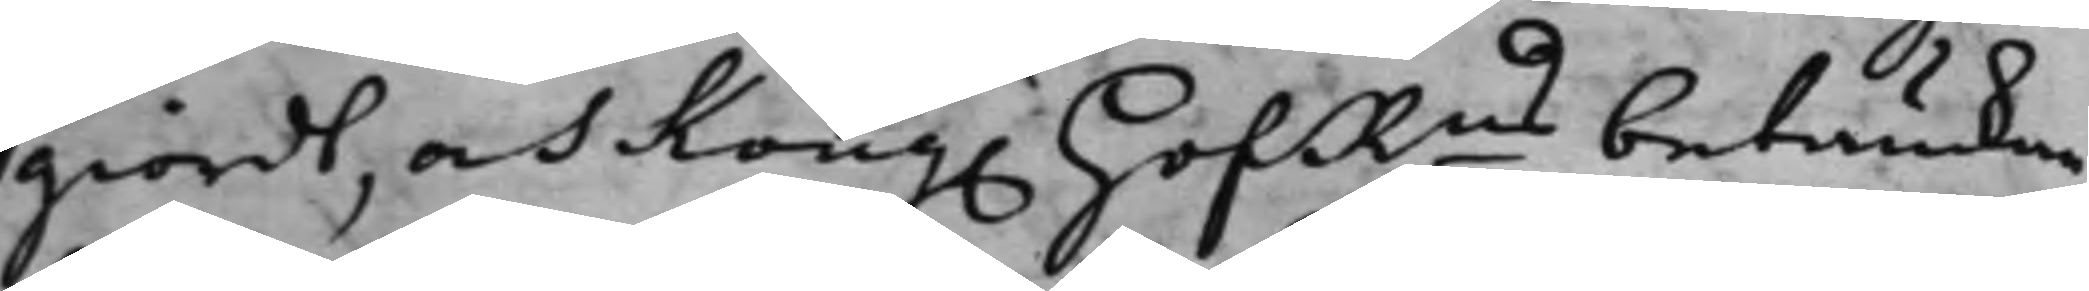giordt, och Kong. HofRns betänckan¬
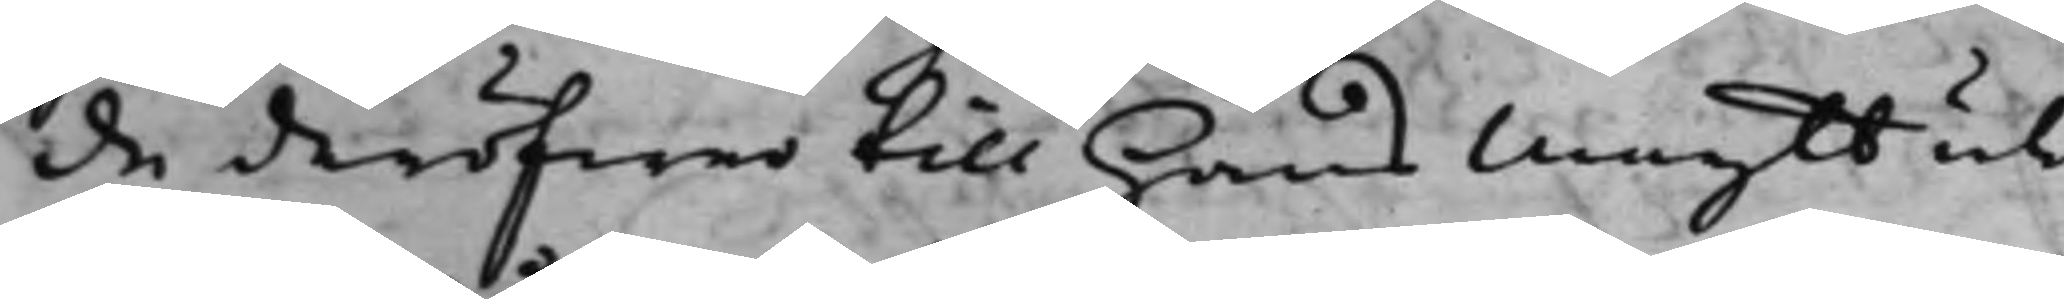de deröfwer till Hans Maytt uti
